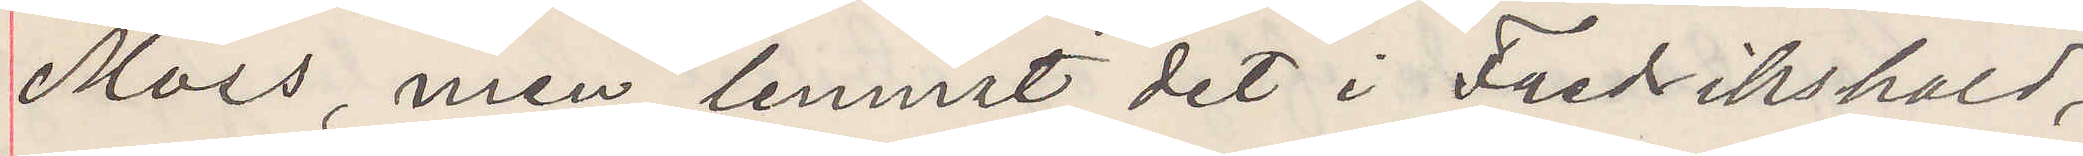Mors, men lemnat det i Fredrikshald,
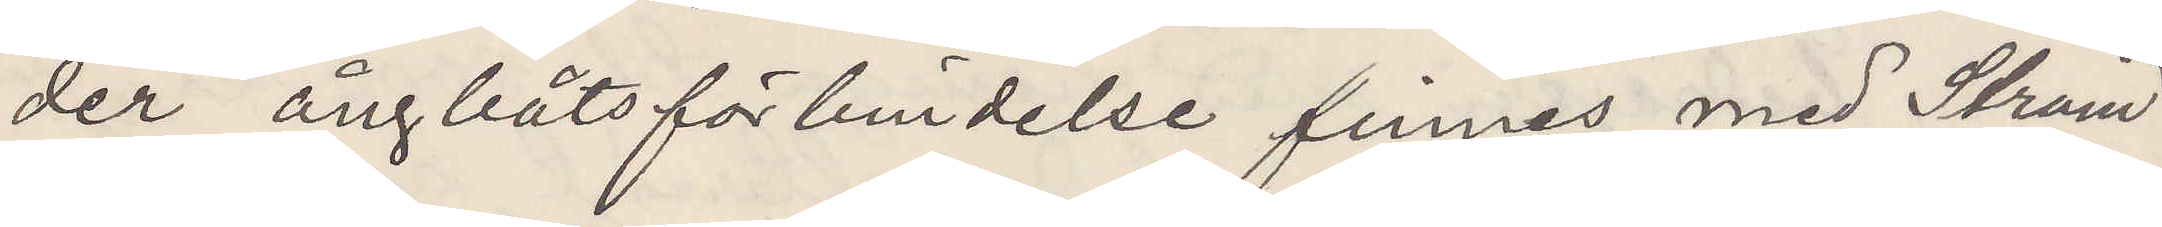der ångbåtsförbindelse finnes med Ström¬
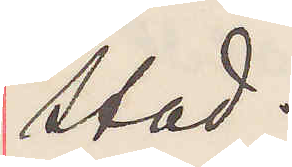stad.
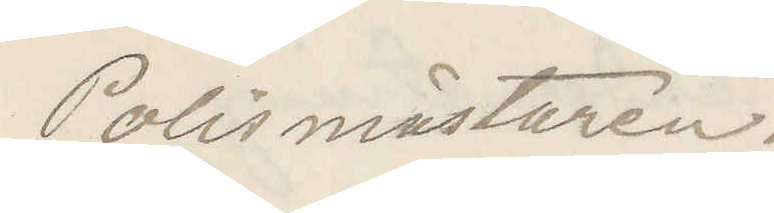Polismästaren.
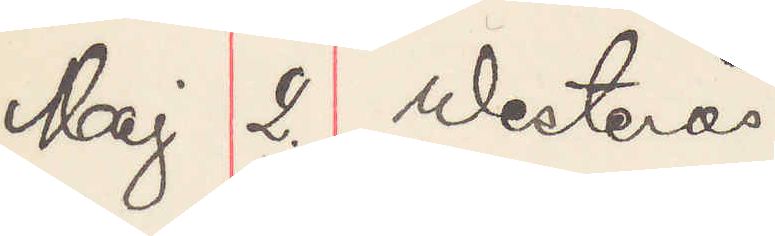Maj 2. Westerås
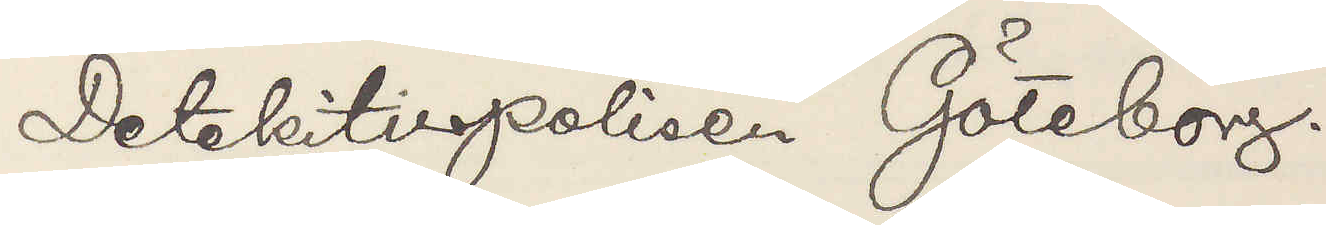Detektivpolisen Göteborg.
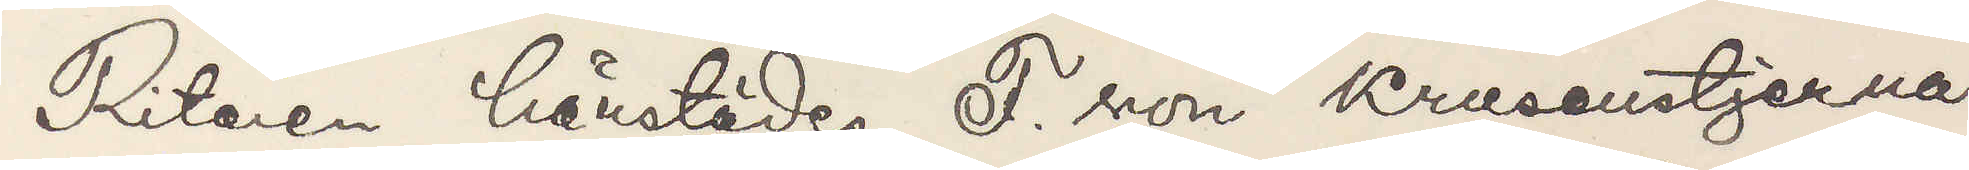Ritaren härstädes F. von Krusenstjerna
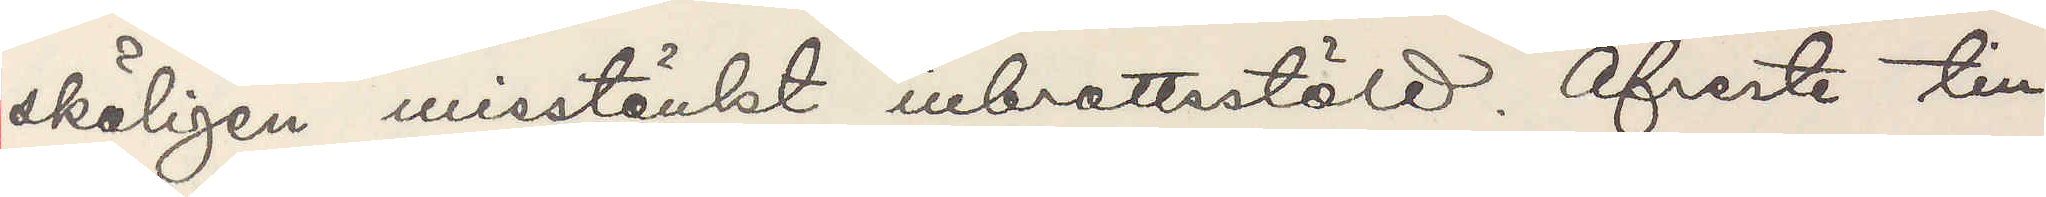skäligen misstänkt inbrottsstöld. Afreste till
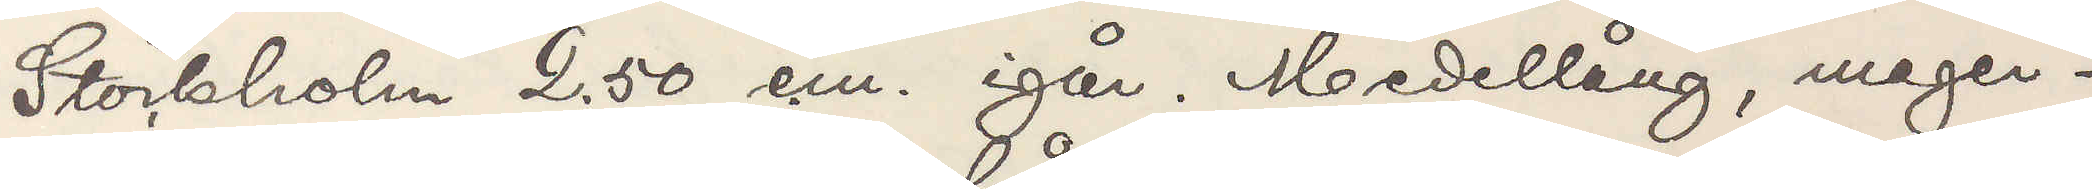Stockholm 2.50 e.m. igår. Medellång, mager¬
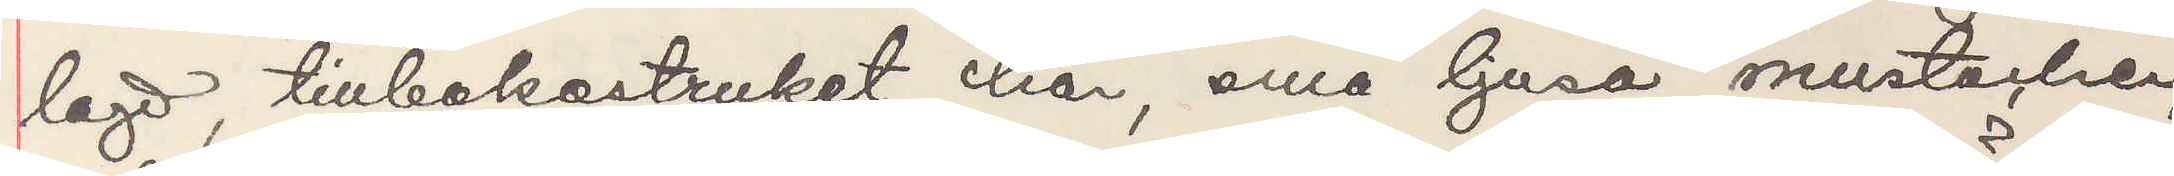lagd, tillbakastruket hår, små ljusa mustacher,
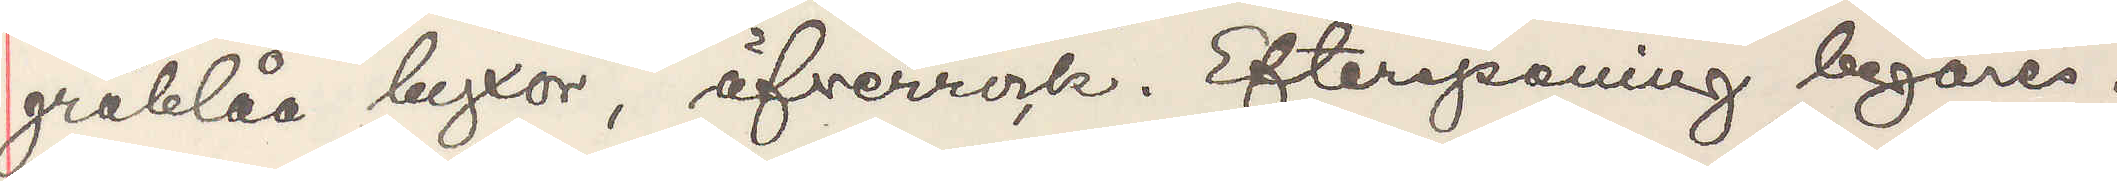gråblå byxor, öfverrock. Efterspaning begäres.
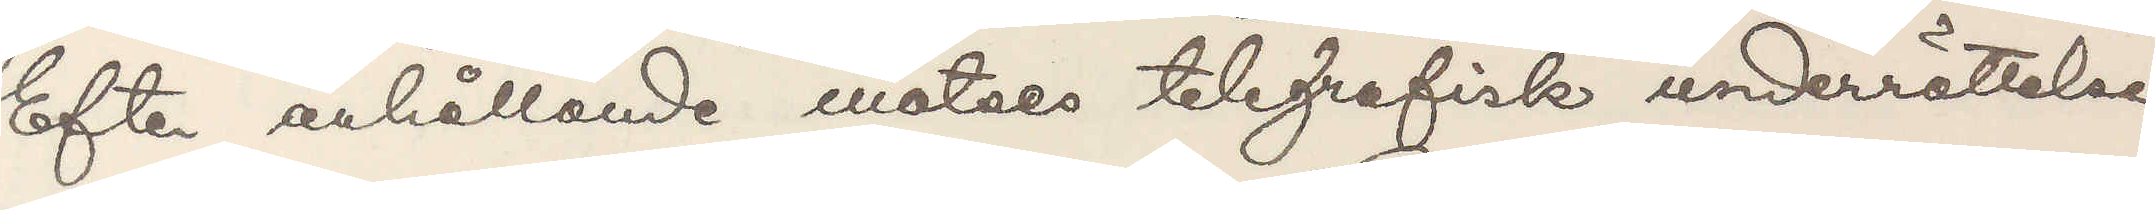Efter anhållande emotses telegrafisk underrättelse.
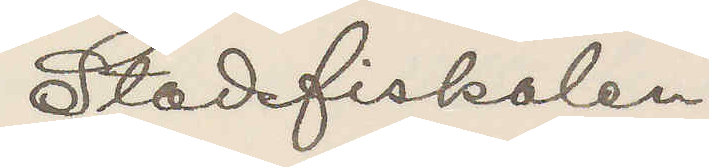Stadsfiskalen
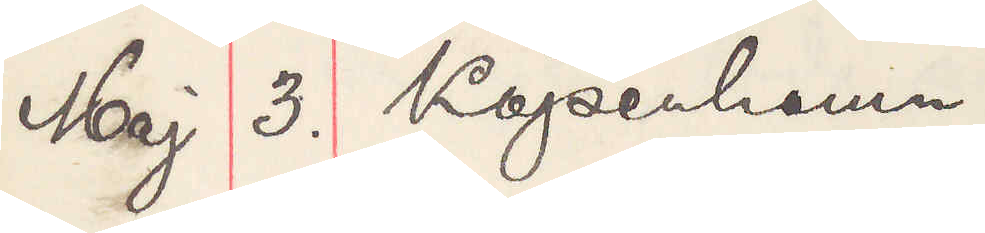Maj 3. Köpenhamn.
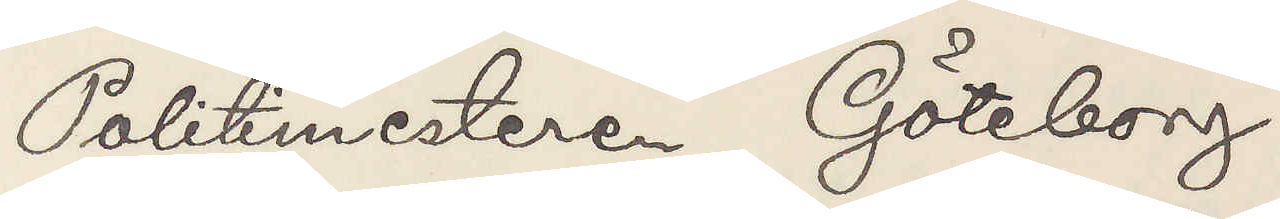Politimesteren Göteborg
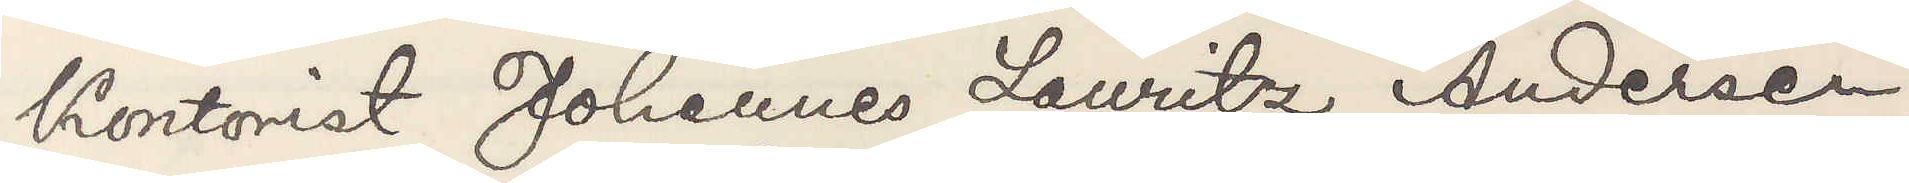Kontorist Johannes Lauritz Andersen,
